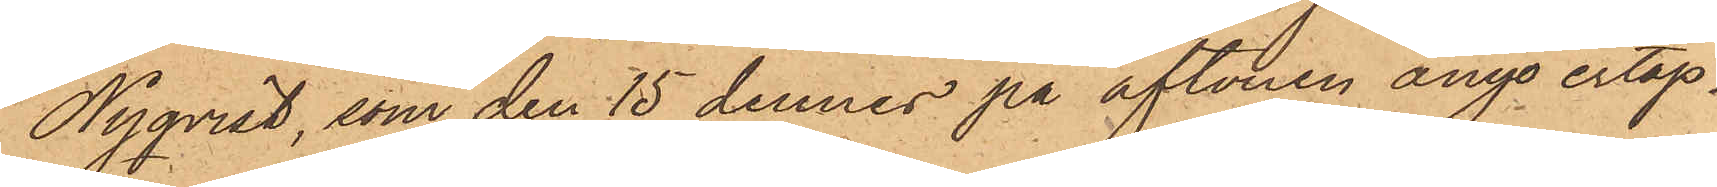Nyqvist, som den 15 dennes på aftonen ånyo ertap¬
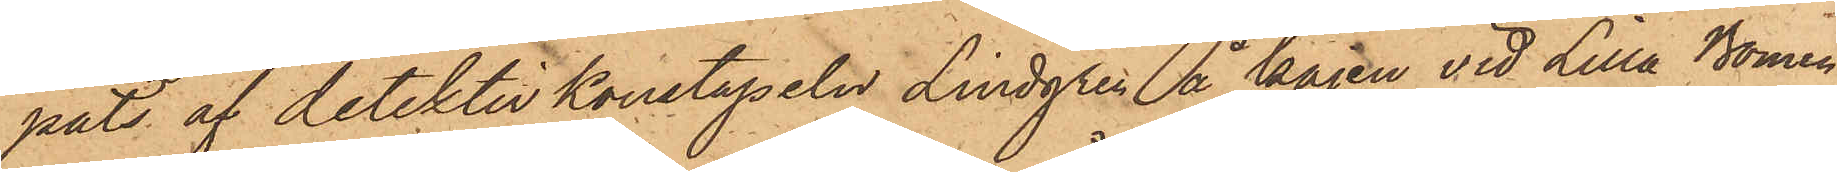pats af detektivkonstapeln Lindgren å kajen vid Lilla Bomen
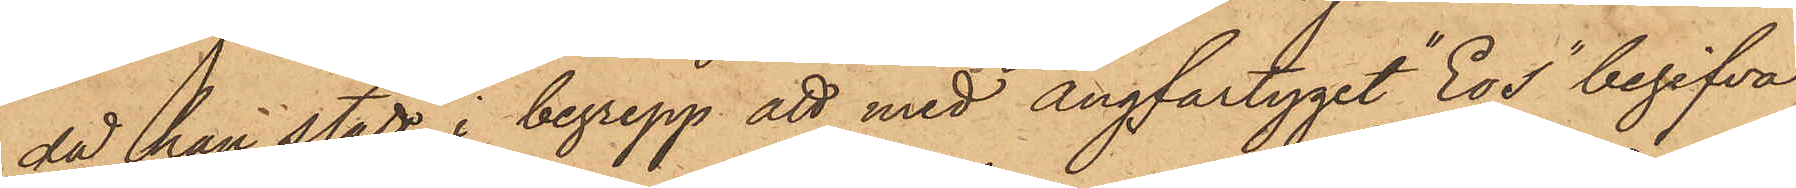då han stått i begrepp att med ångfartyget "Eos" begifva
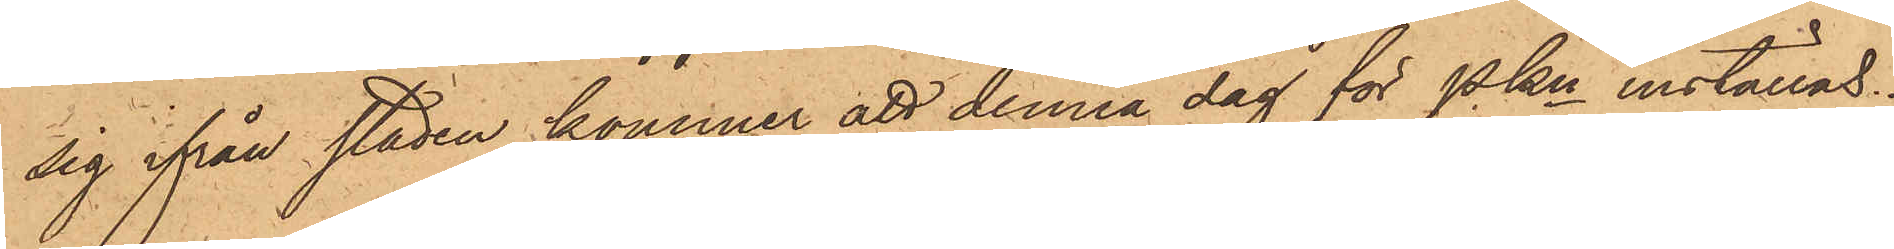sig ifrån staden, kommer att denna dag för PKn inställas.
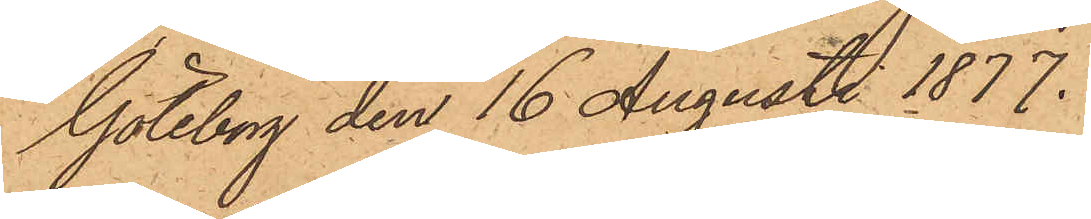Göteborg den 16 Augusti 1877.
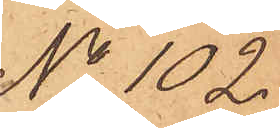No 102
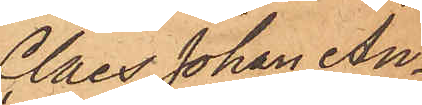Claes Johan An¬
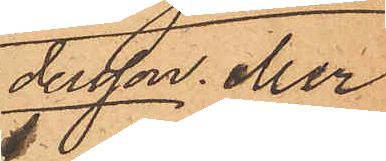dersson eller
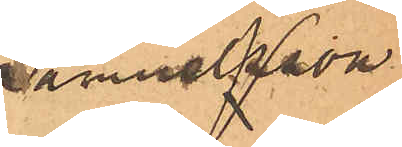Samuelsson
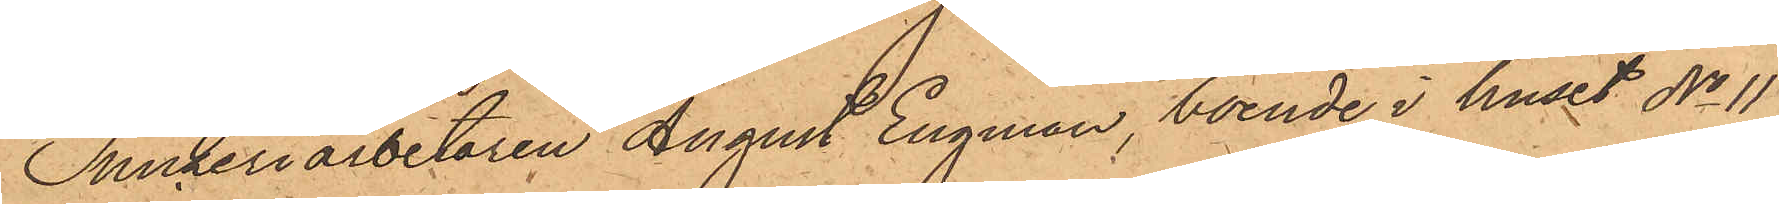Snickeriarbetaren August Engman, boende i huset No 11
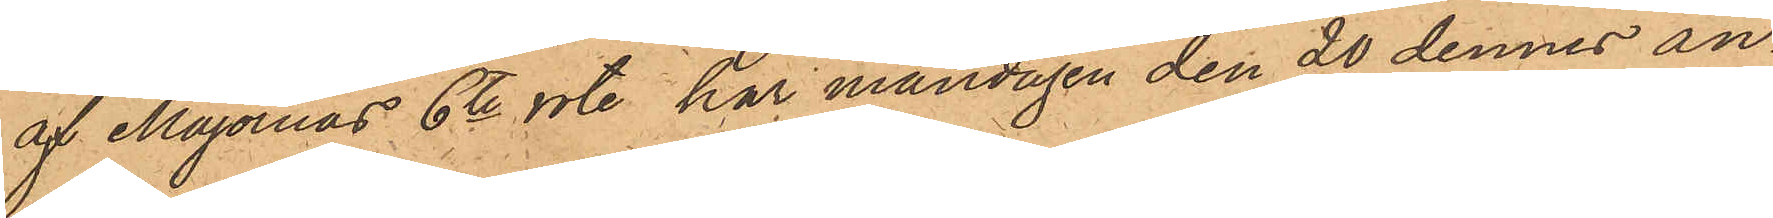af Majornas 6te rote, har måndagen den 20 dennes an¬
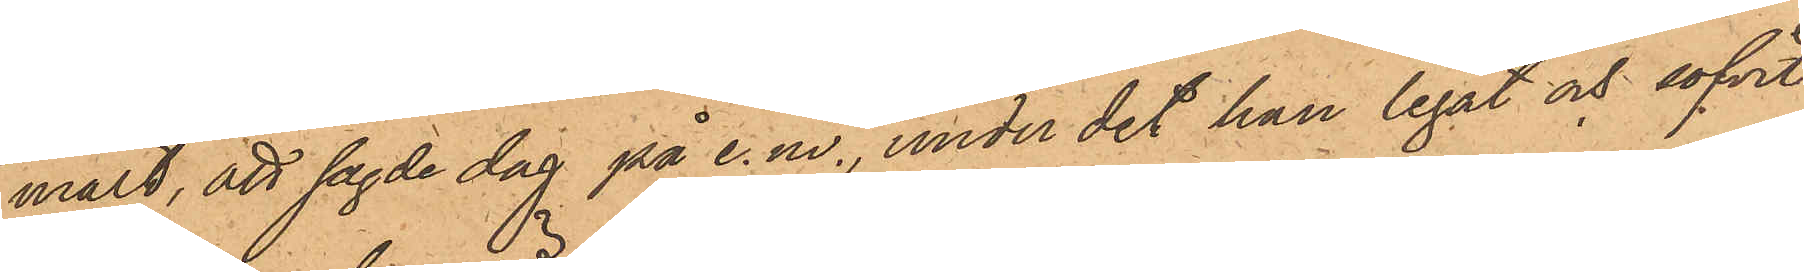mält, att sagde dag på e. m., under det han legat och sofvit
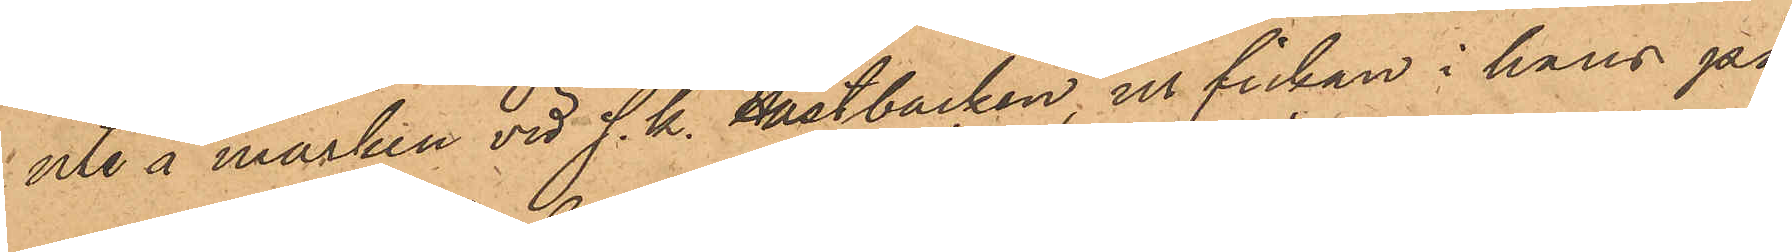ute å marken vid s. k. Hästbacken, ur fickan i hans på¬
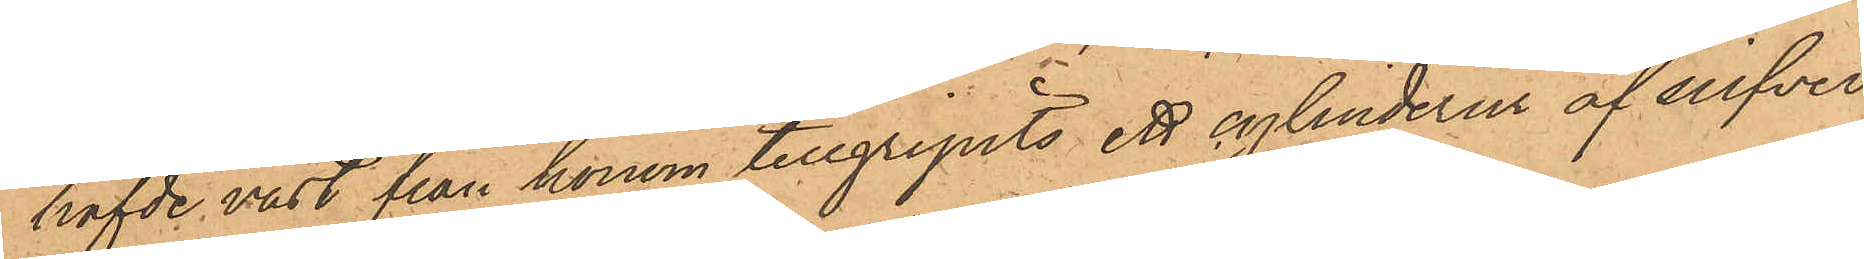hafvde väst från honom tillgripits ett cylinderur af silfver
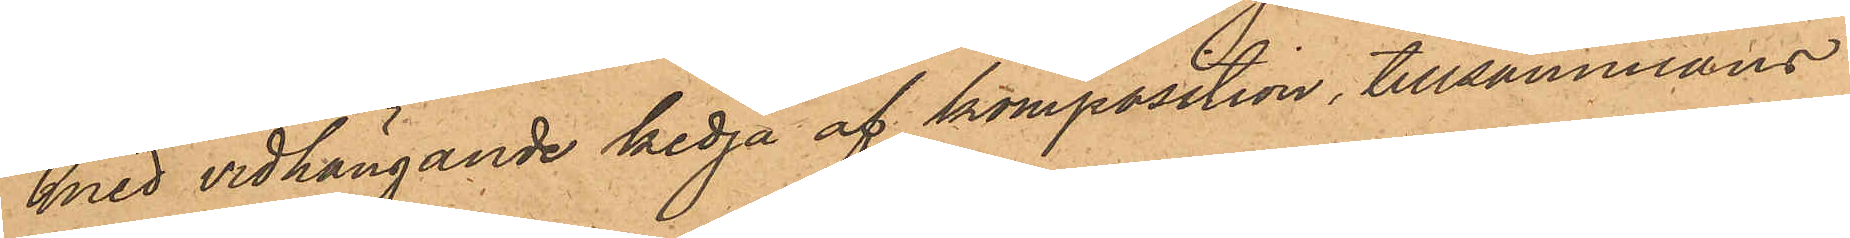med vidhängande kedja af komposition, tillsammans
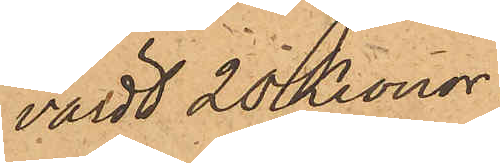värdt 20 Kronor.
